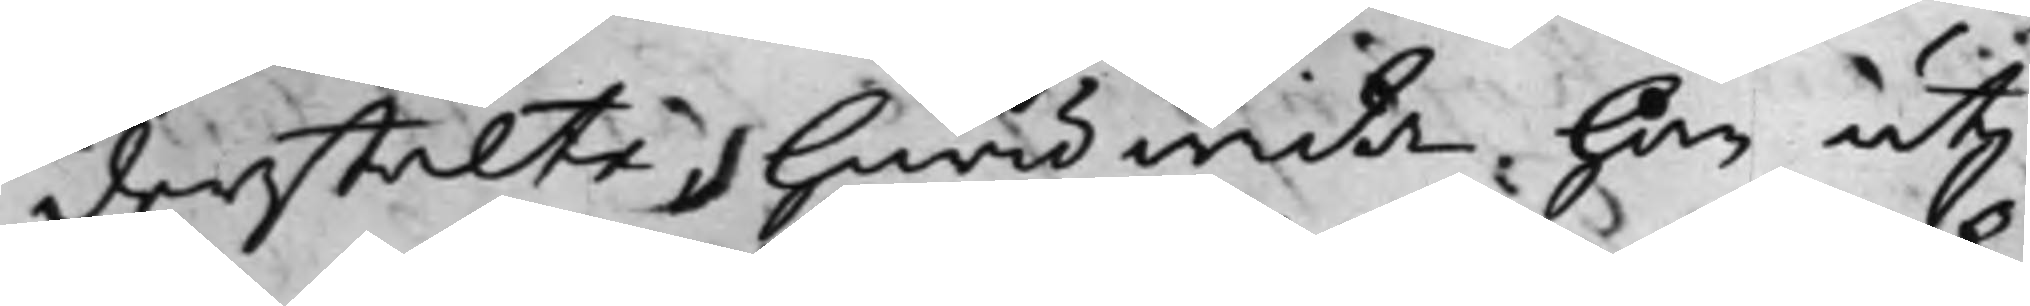derstälte, huruwida han utj
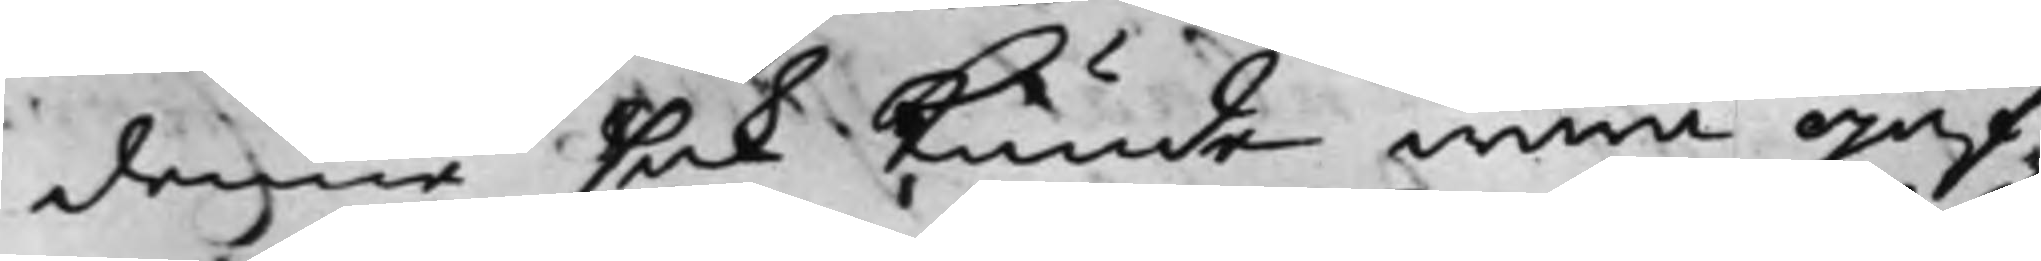denna sak kunde wara jäf¬
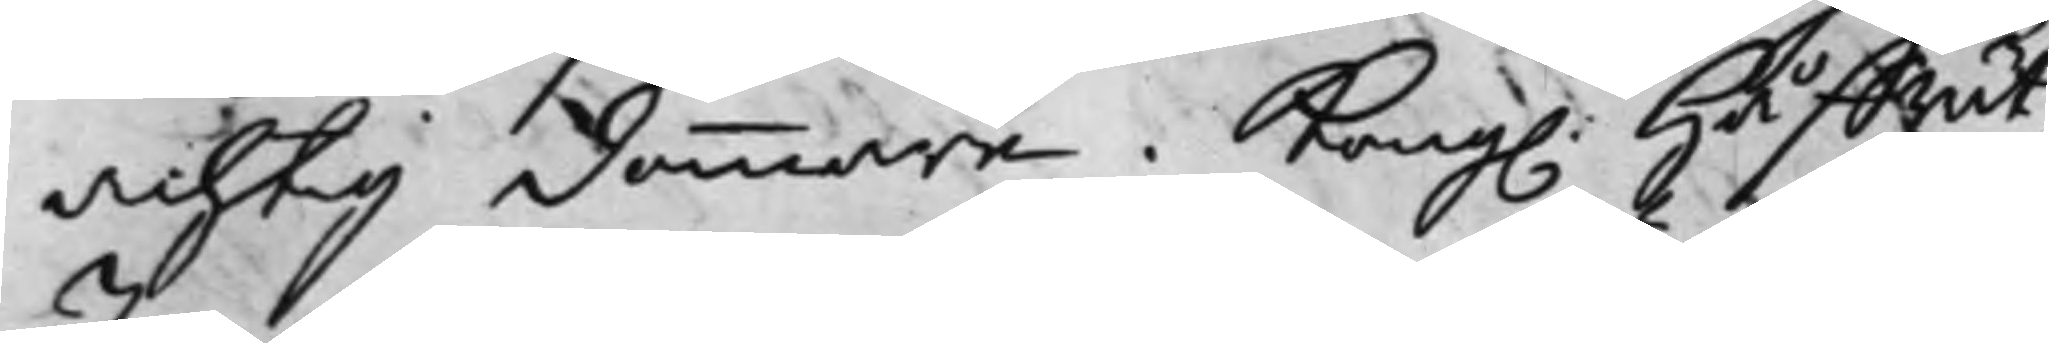achtig dommare. Kong. HåffRät¬
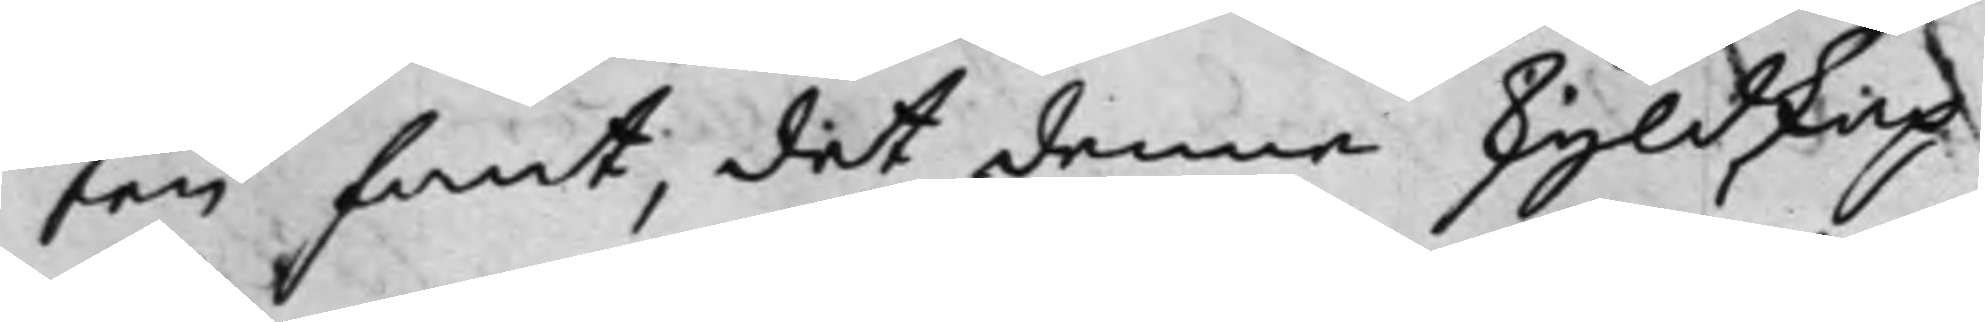ten fant, det denne skyldskap
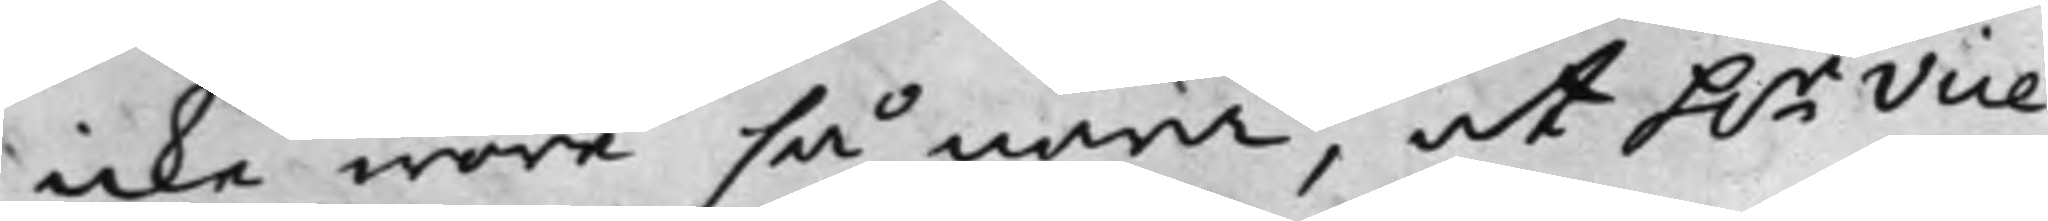icke wore så nära, at h.r Vice
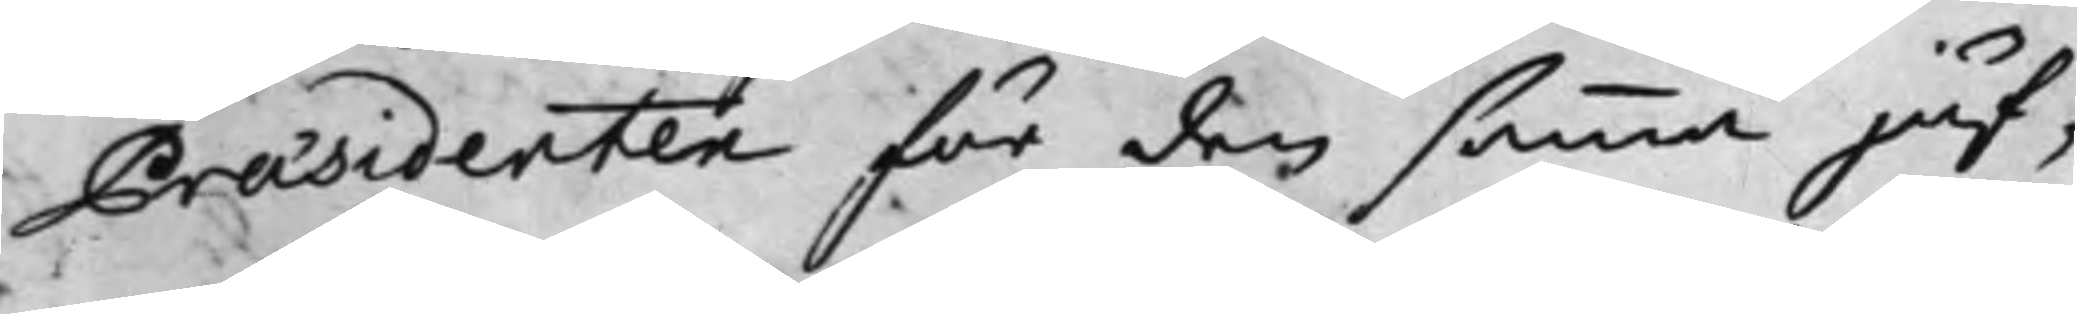Præsidenten för den samma jäf¬
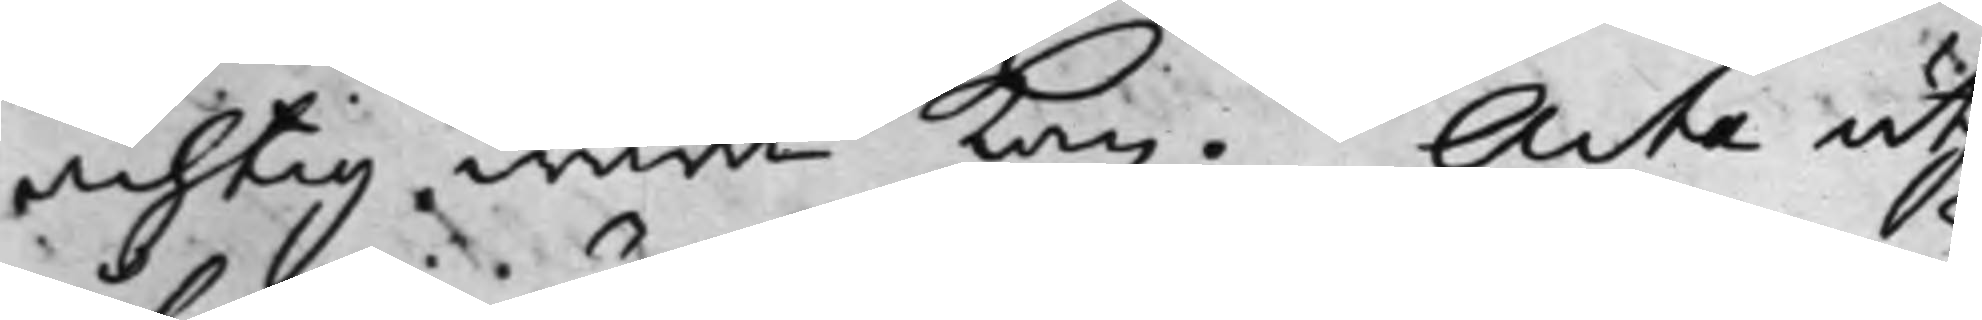achtig wara kan. Acta utj
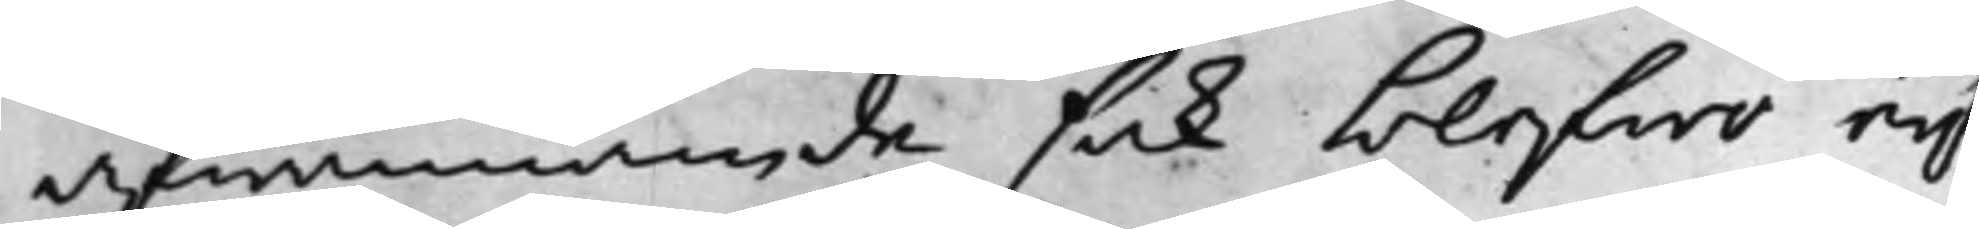åfwannämde sak blefwo ey
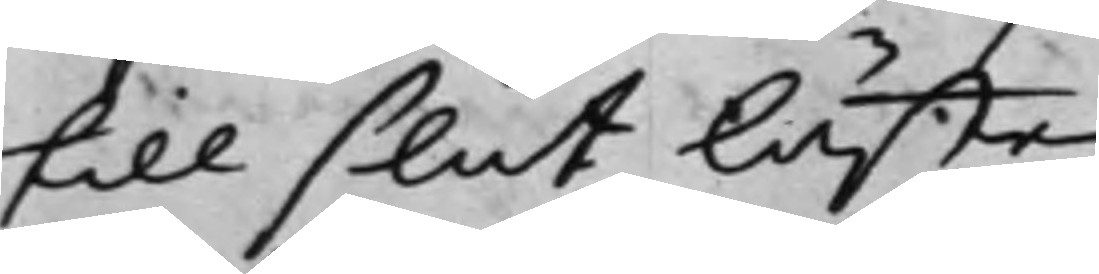till slut läste.
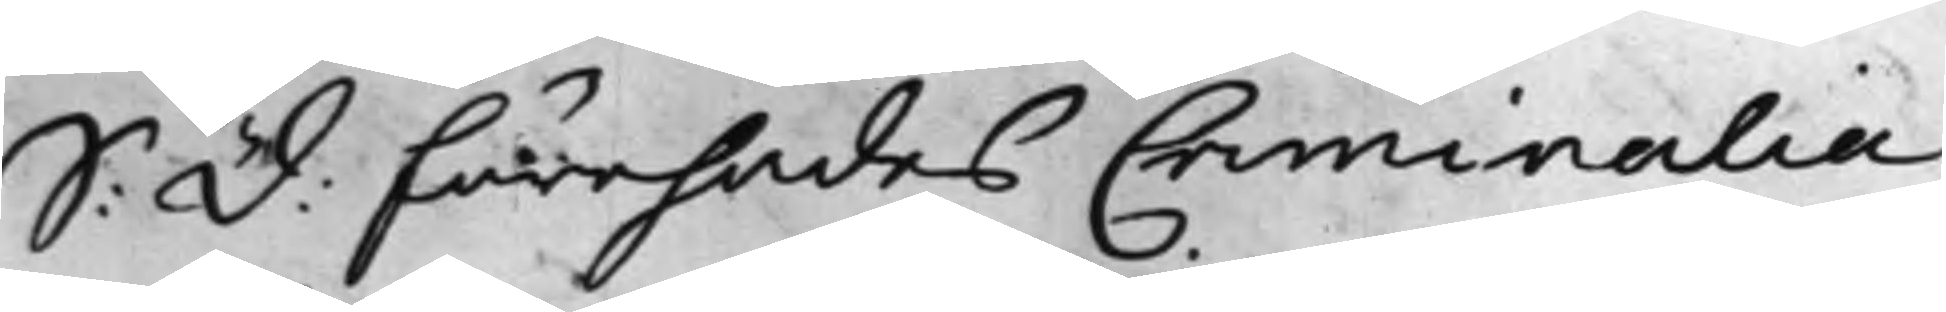S: D: Förehades Criminalia
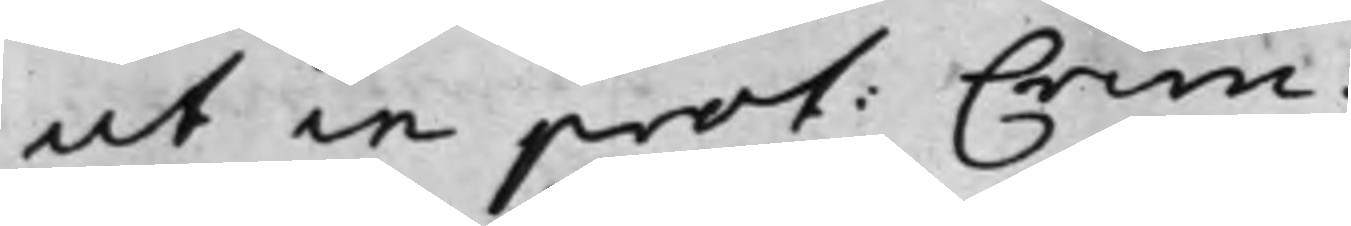ut in prot: Crim:
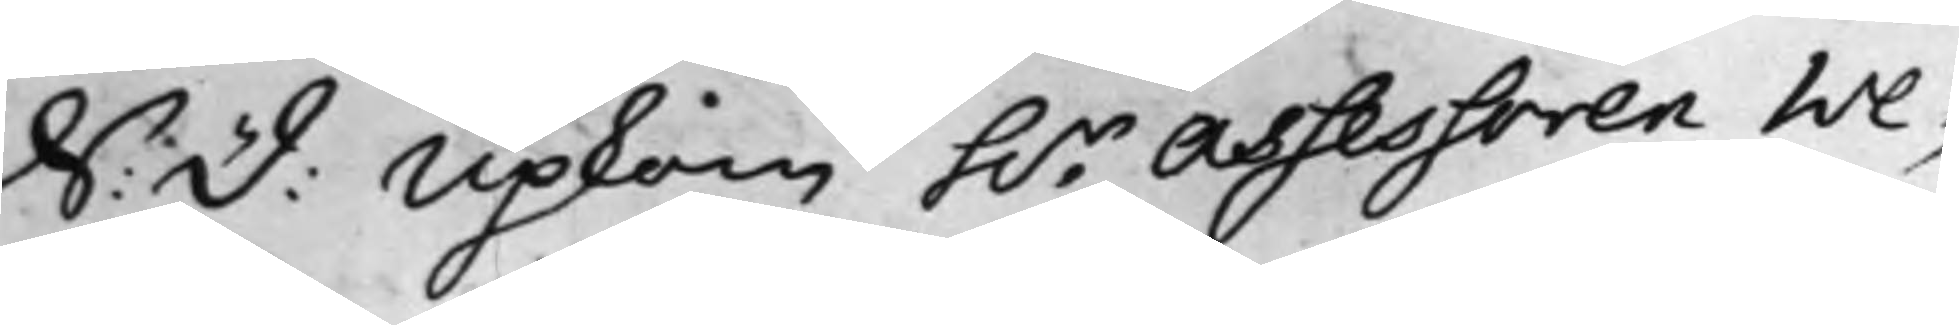S: D: Upkom h.r Assessoren We¬
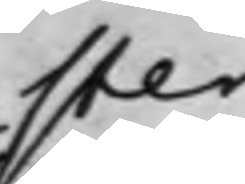ster
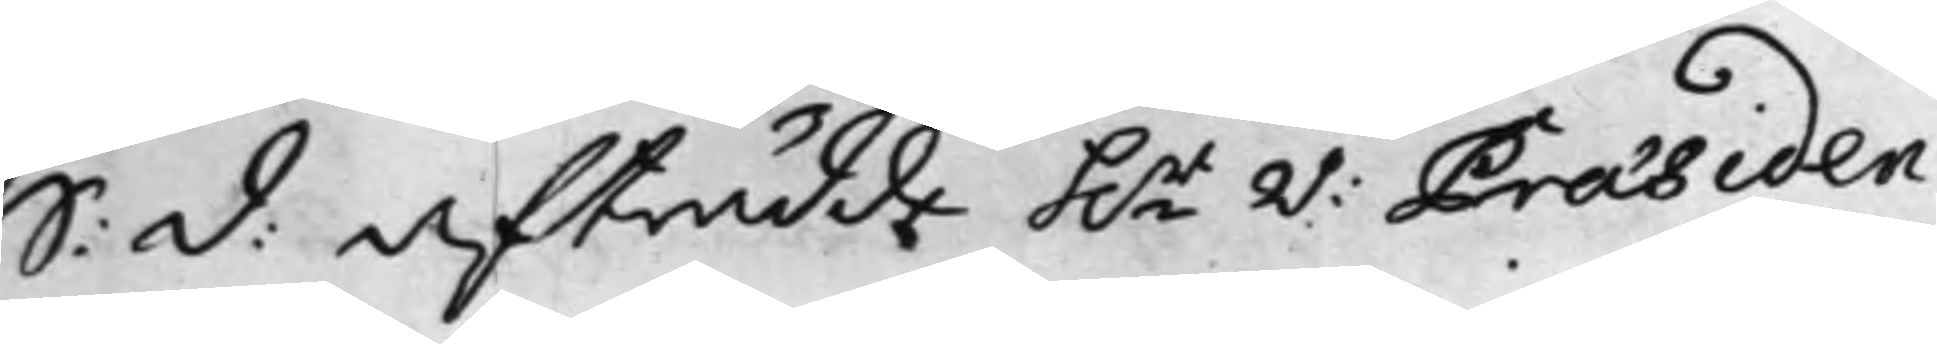S: D: Afträdde h.r V: Præsiden¬
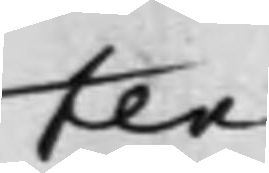ten.
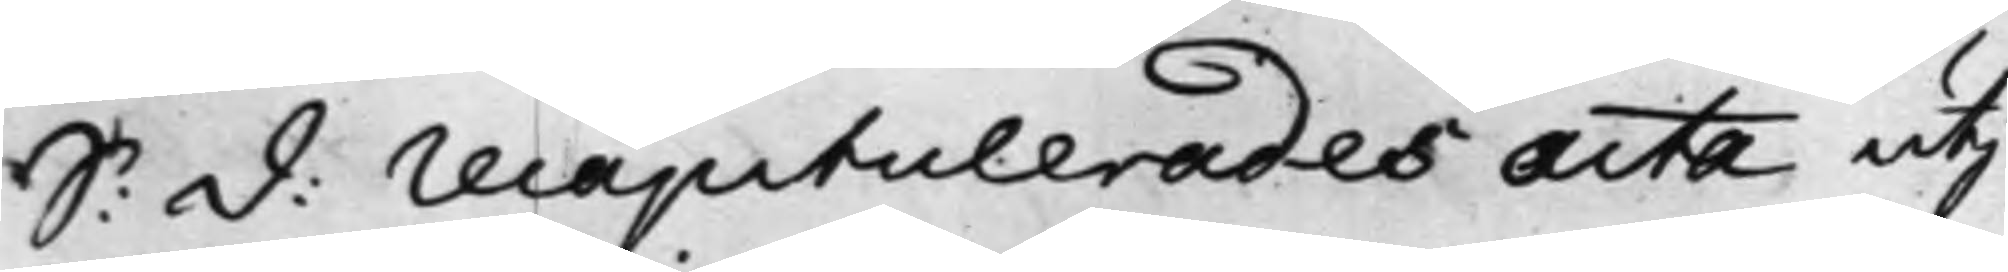S: D: recapitalerades Acta utj
